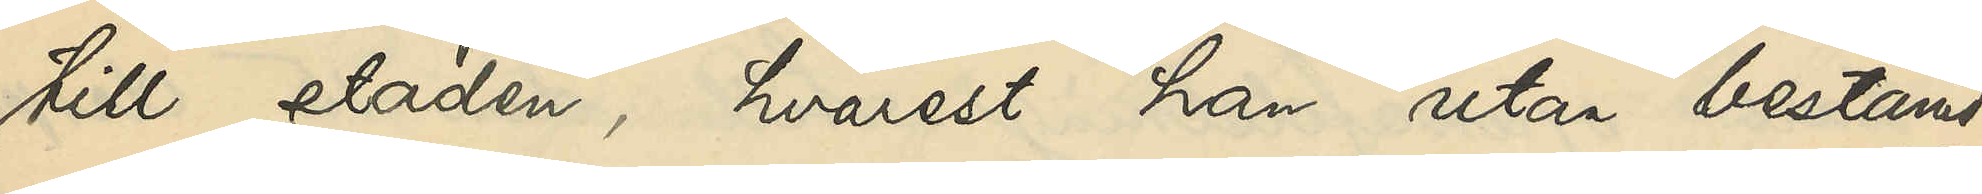till staden, hvarest han utan bestämd
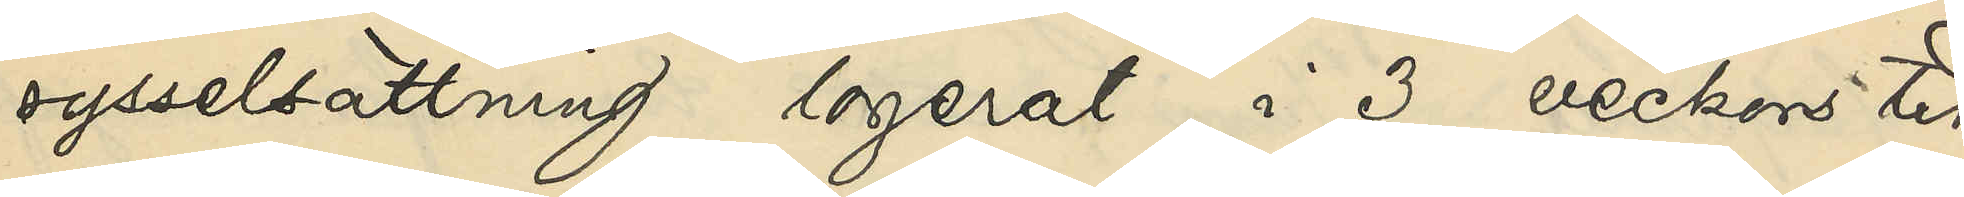sysselsättning logerat i 3 veckors tid
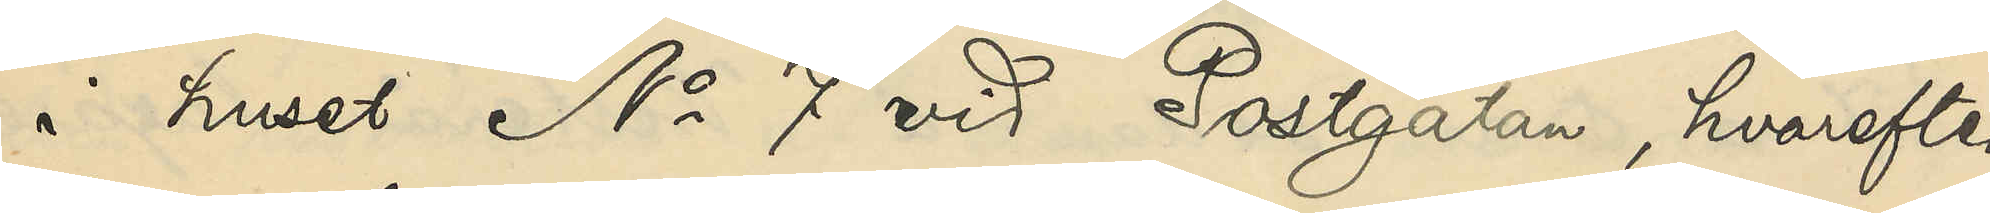i huset No 7 vid Postgatan, hvarefter
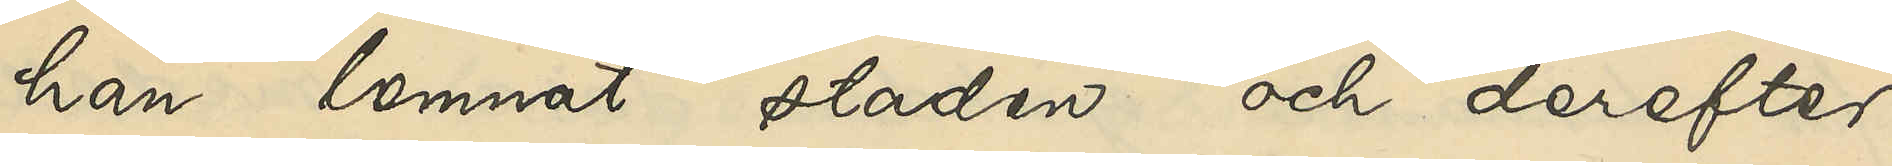han lemnat staden och derefter
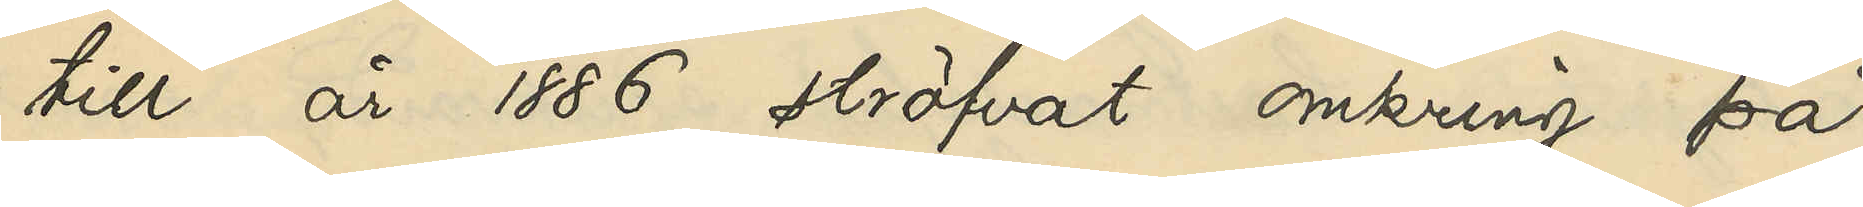till år 1886 ströfvat omkring på
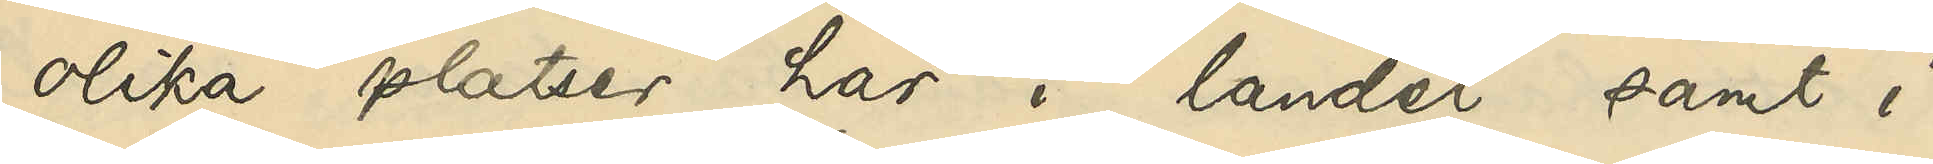olika platser här i landet samt i
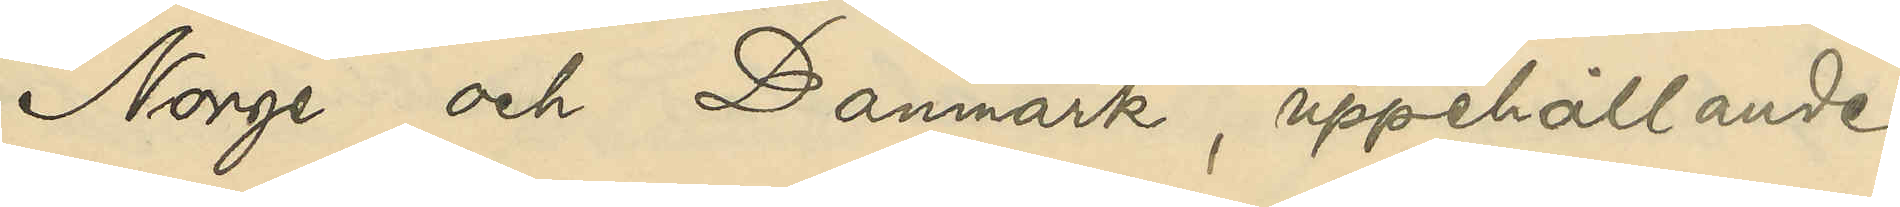Norge och Danmark, uppehållande
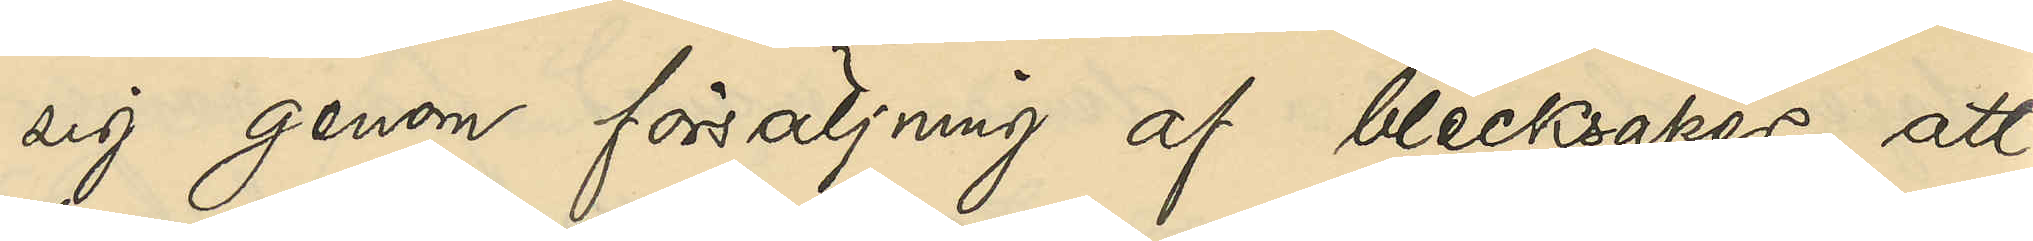sig genom försäljning af blecksaker, att
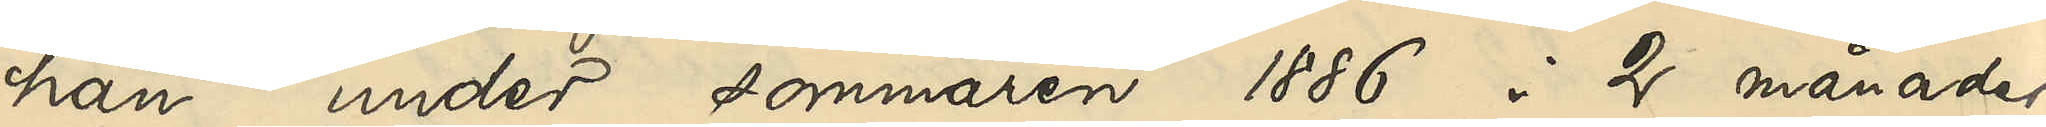han under sommaren 1886 i 2 månader
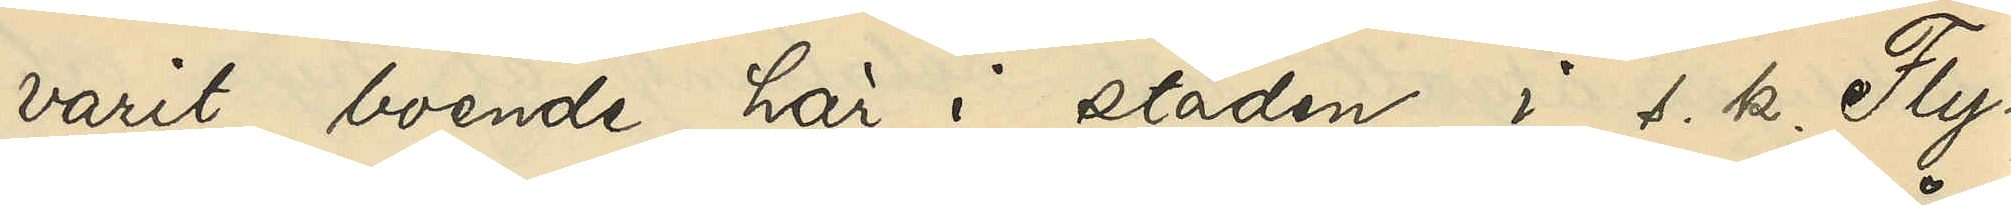varit boende här i staden i s. k. Fly¬
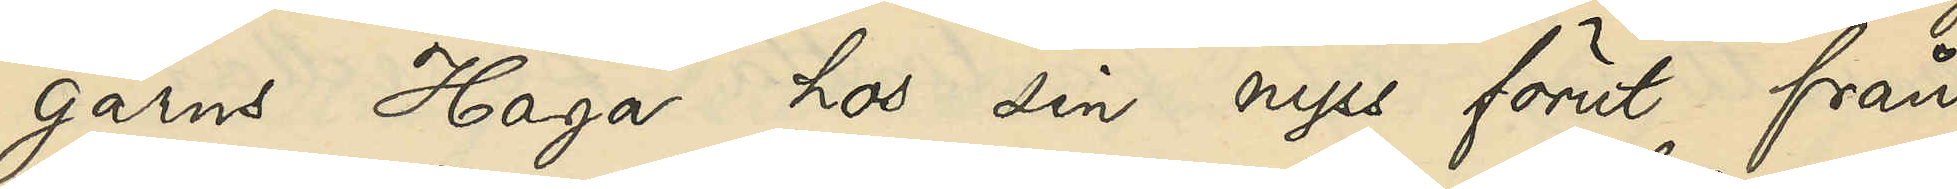garns Haga hos sin nyss förut från
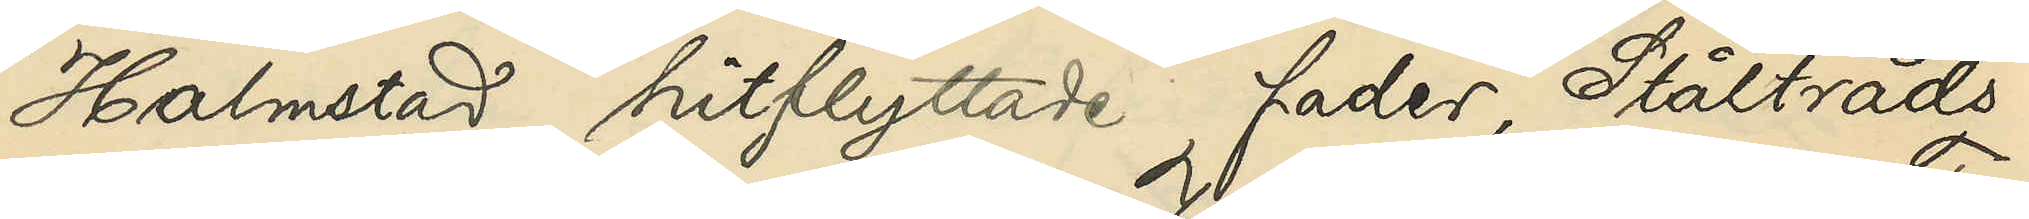Halmstad hitflyttade fader, Ståltråds¬
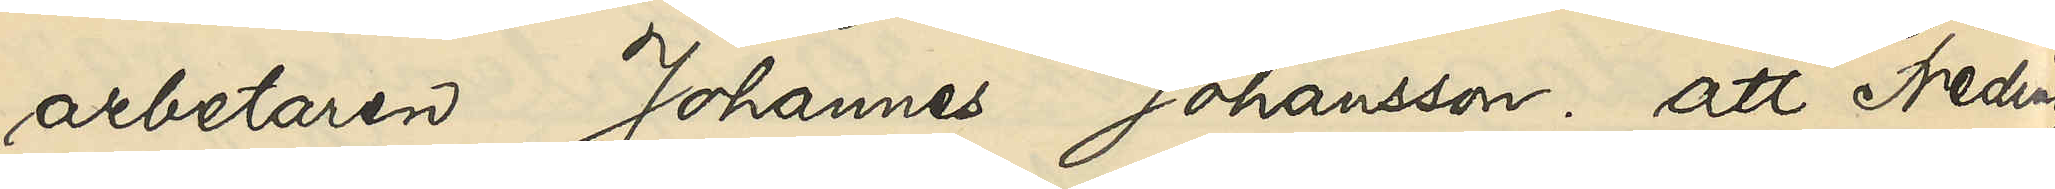arbetaren Johannes Johansson; att Freding
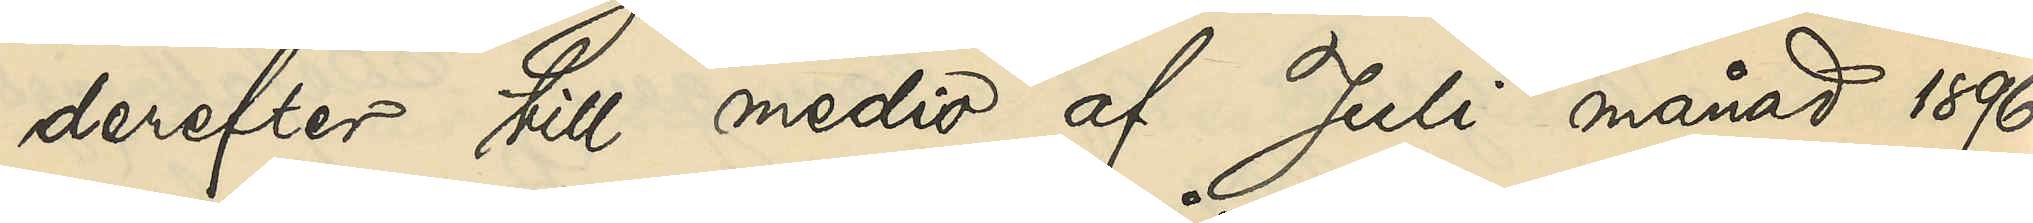derefter till medio af Juli månad 1896
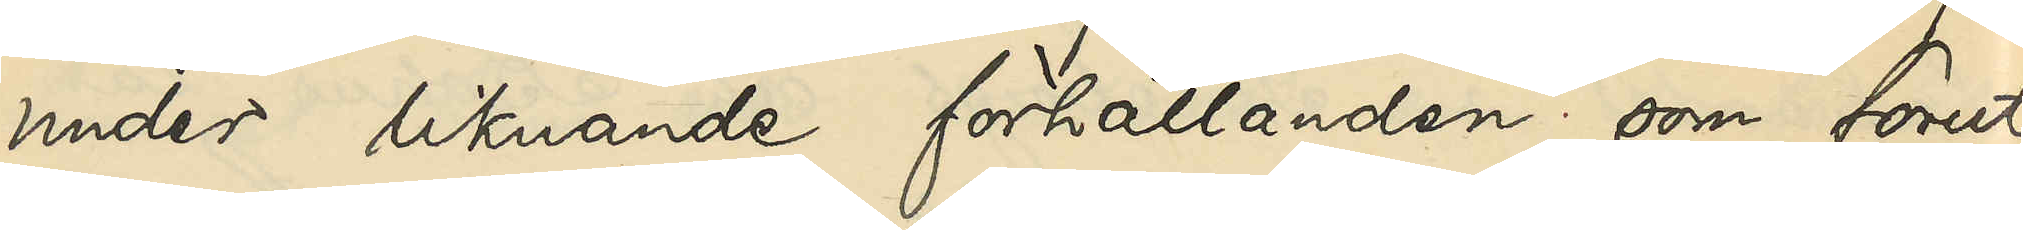under liknande förhållanden som förut
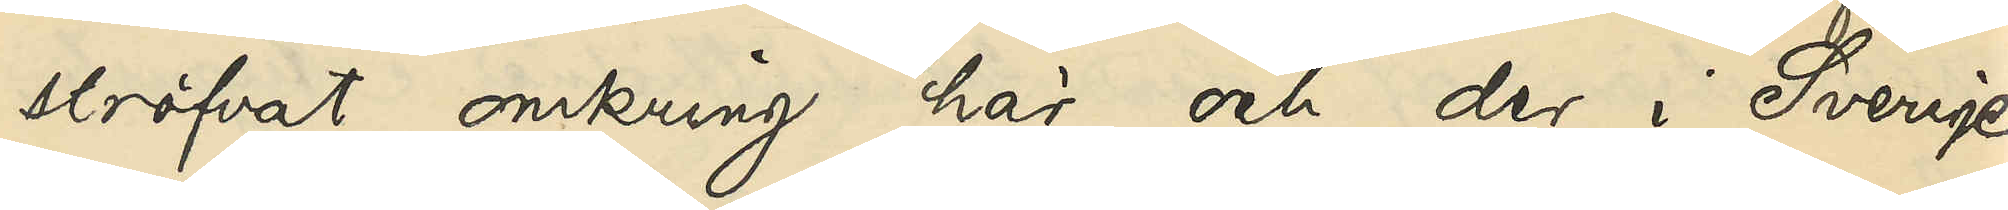ströfvat omkring här och der i Sverige
